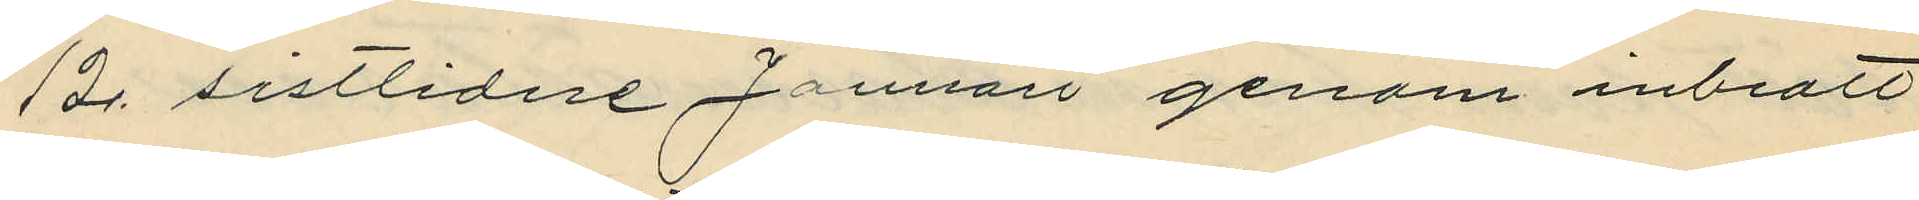12 sistlidne Januari genom inbrott
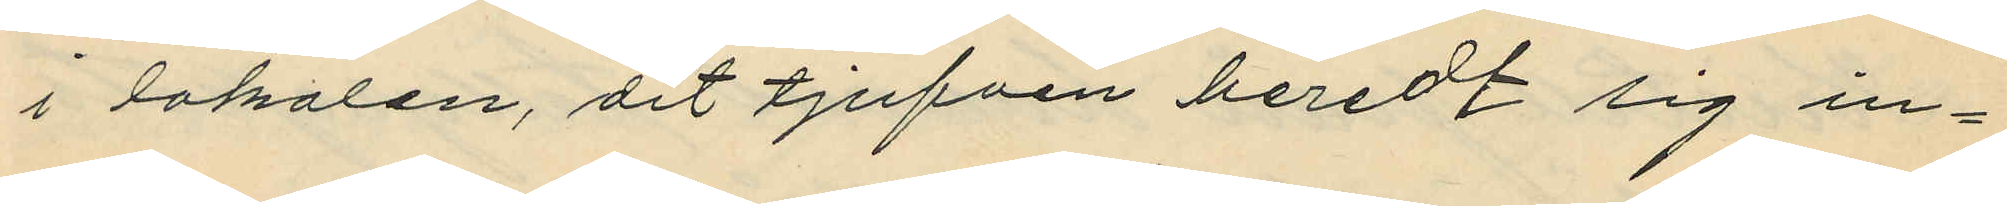i lokalen, dit tjufven beredt sig in¬
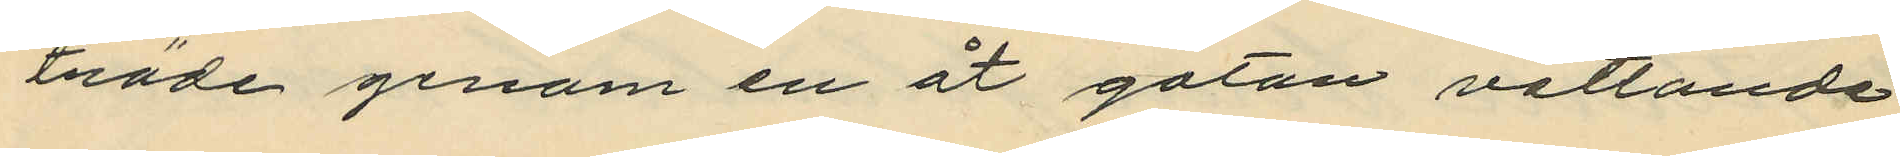träde genom en åt gatan vettande
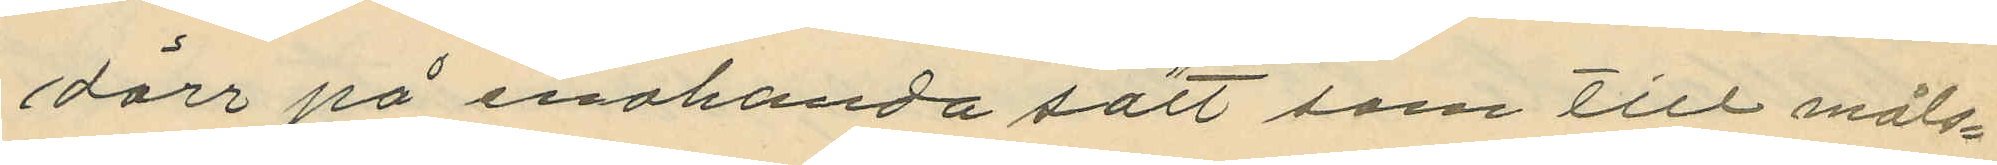dörr på enahanda sätt som till måls¬
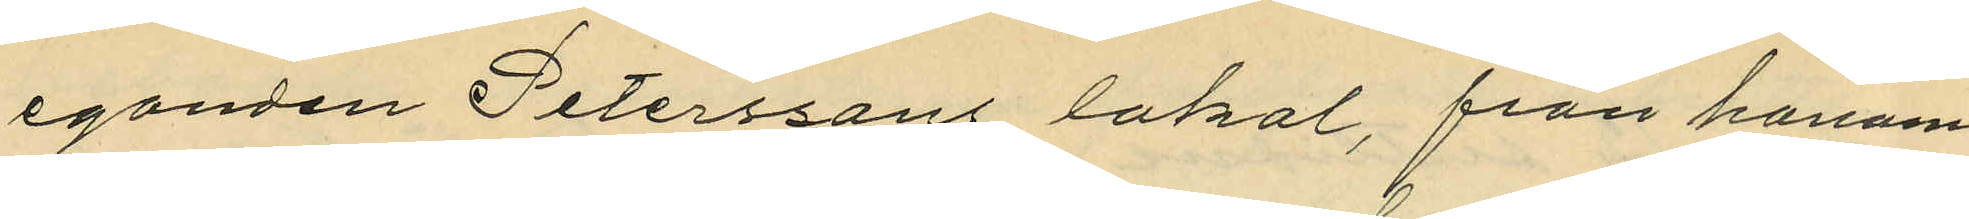eganden Petterssons lokal, från honom
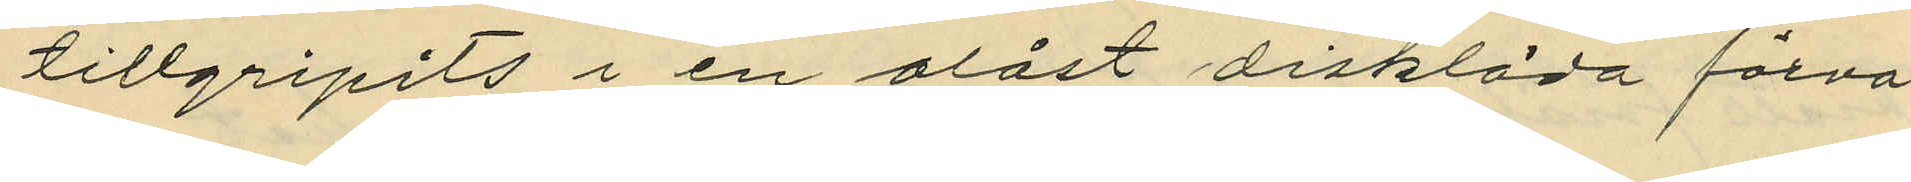tillgripits i en olåst disklåda förva¬
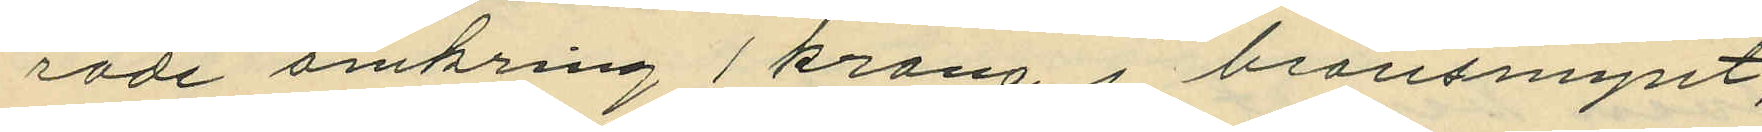rande omkring 1 krona i bronsmynt;
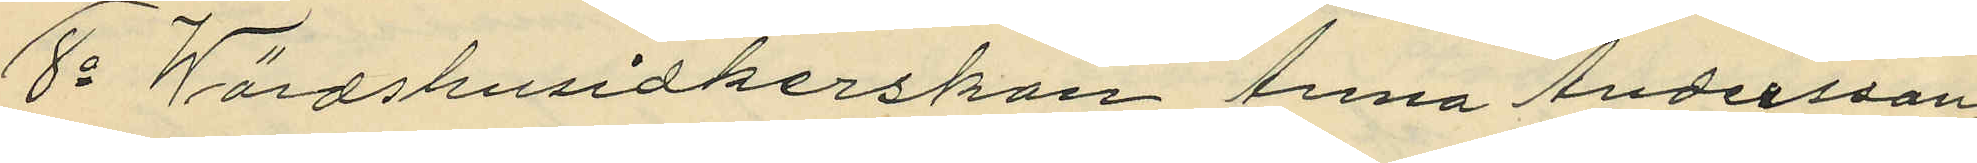8o Wärdshusidkerskan Anna Andersson,
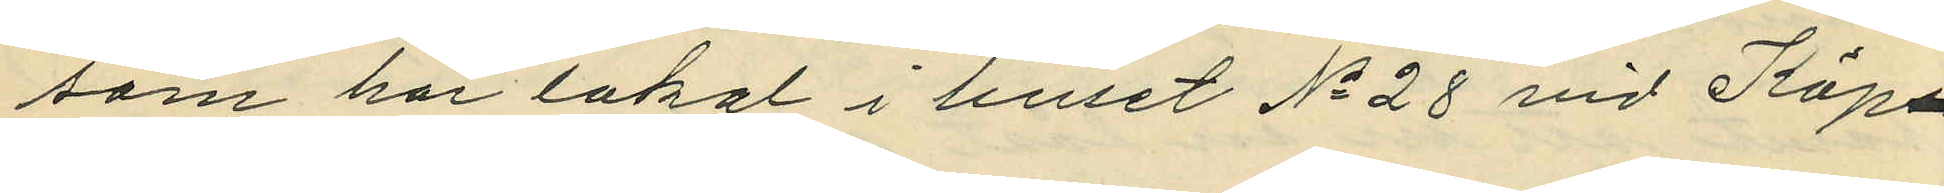som har lokal i huset No 28 vid Köp¬
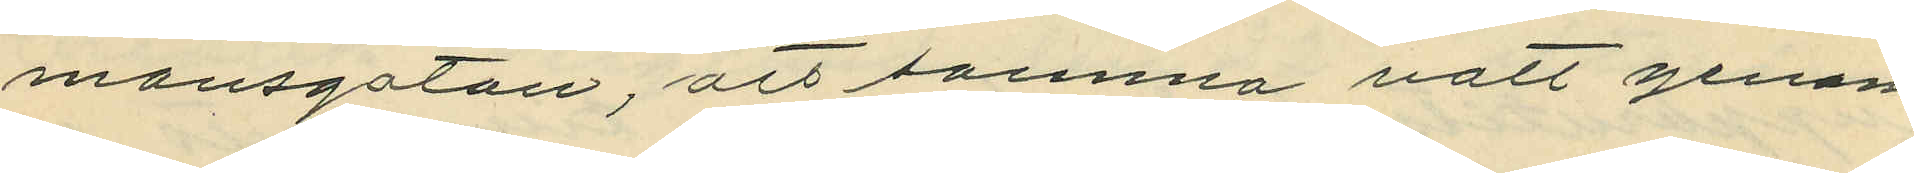mansgatan, att samma natt genom
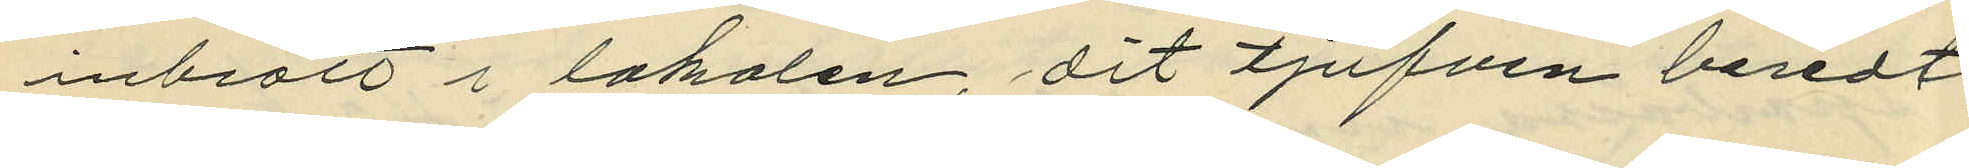inbrott i lokalen dit tjufven beredt 
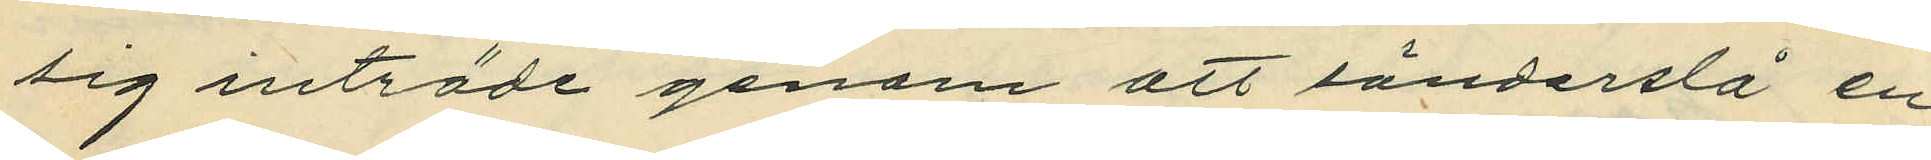sig inträde genom att sönderslå en
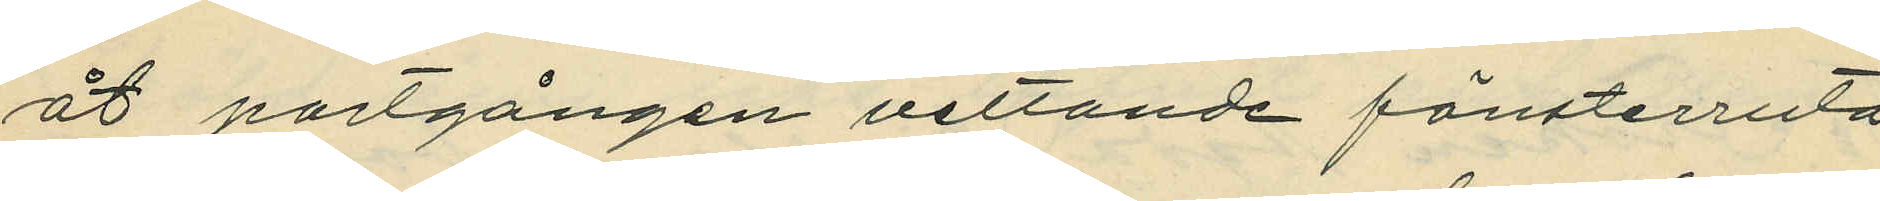åt portgången vettande fönsterruta,
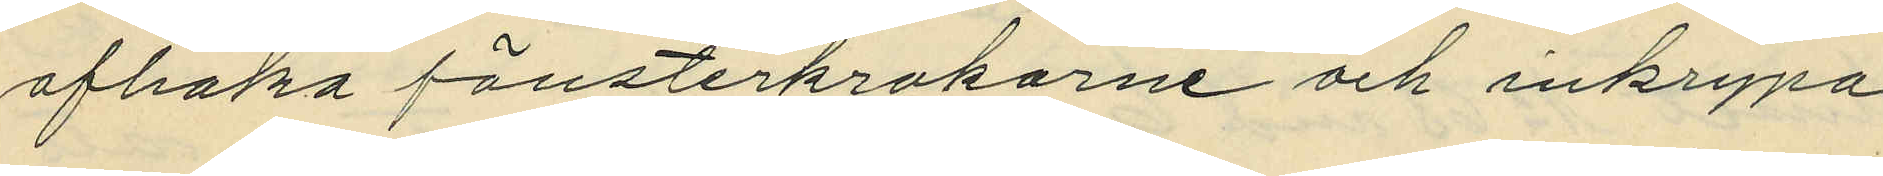afhaka fönsterkrokarne och inkrypa
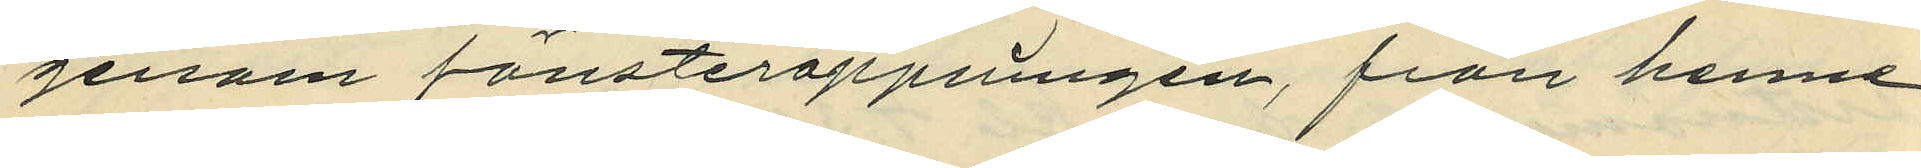genom fönsteröppningen, från henne
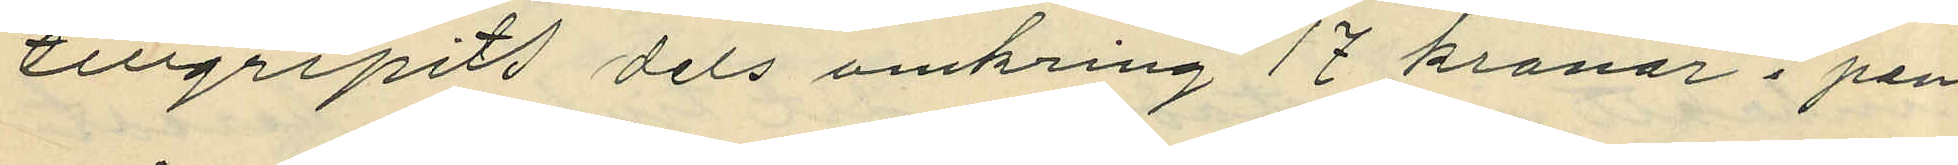tillgripit dels omkring 17 kronor i pen¬
